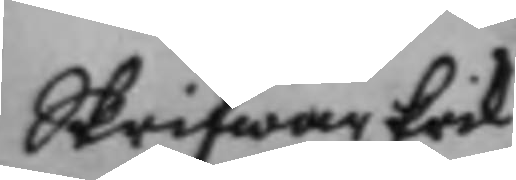Skrifwar Erik
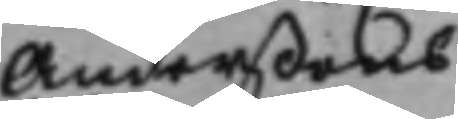Anderßons
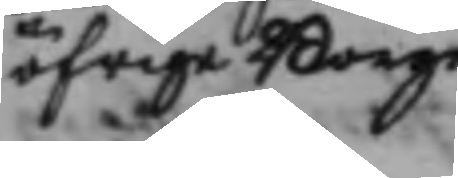öfrige Borge¬
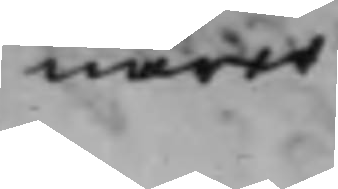närer.
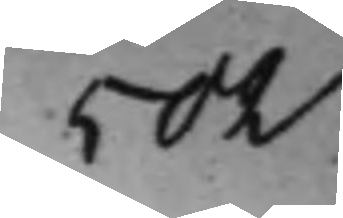502
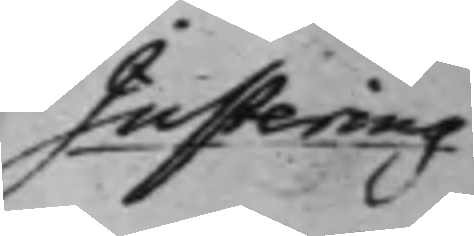Justering
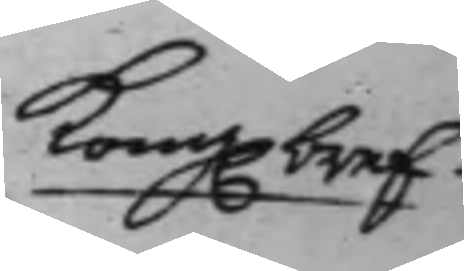Kong. bref.
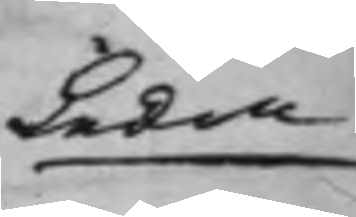Leda¬
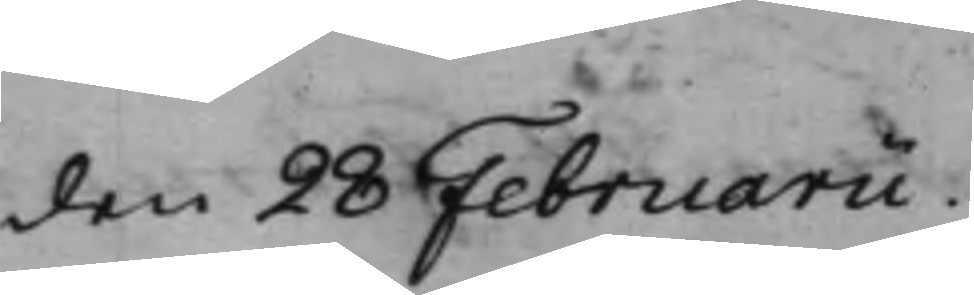den 28 Februarii.
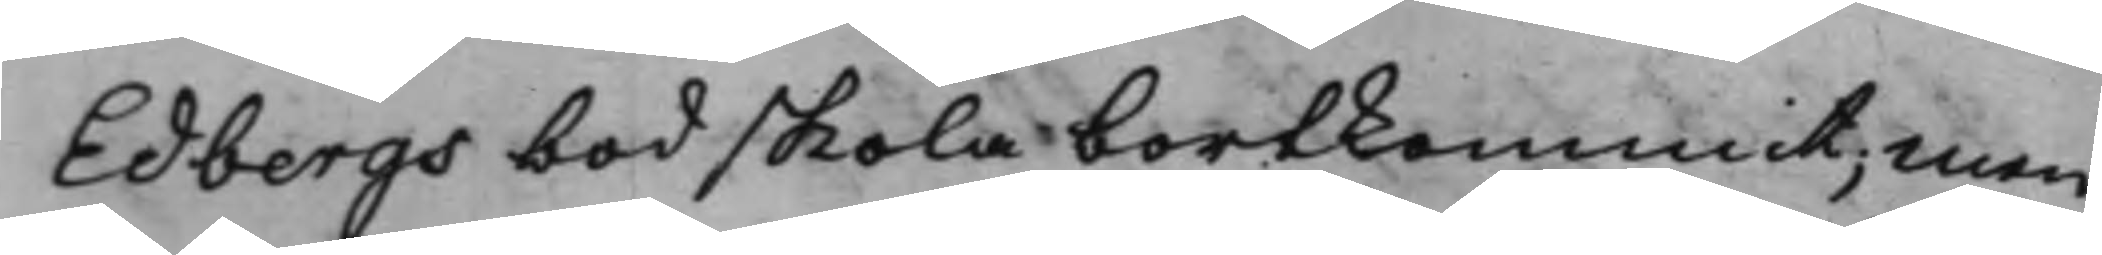Edbergs bod skola bortkommit; Men
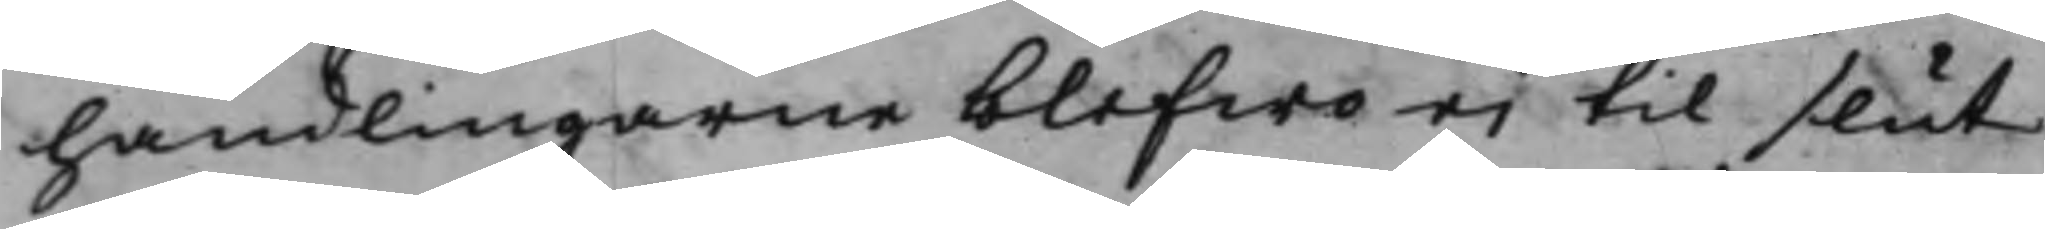handlingarne blefwo ei til slut
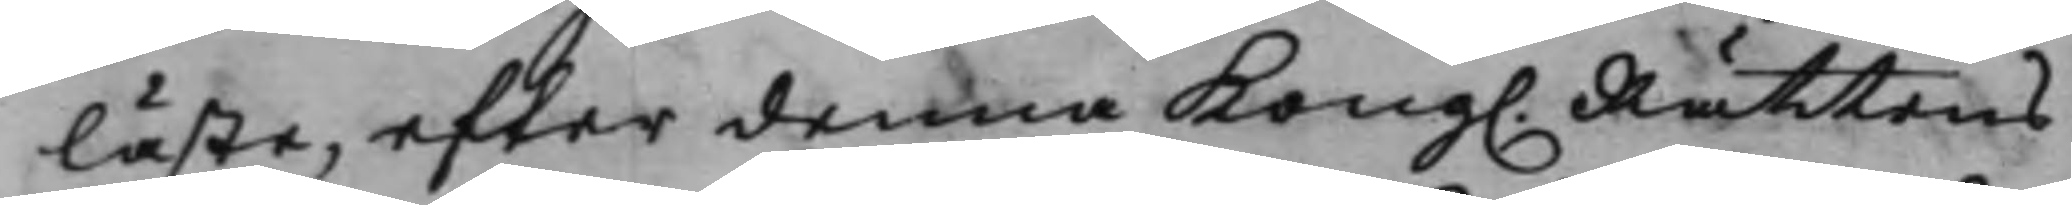läste, efter denna Kong. Rättens
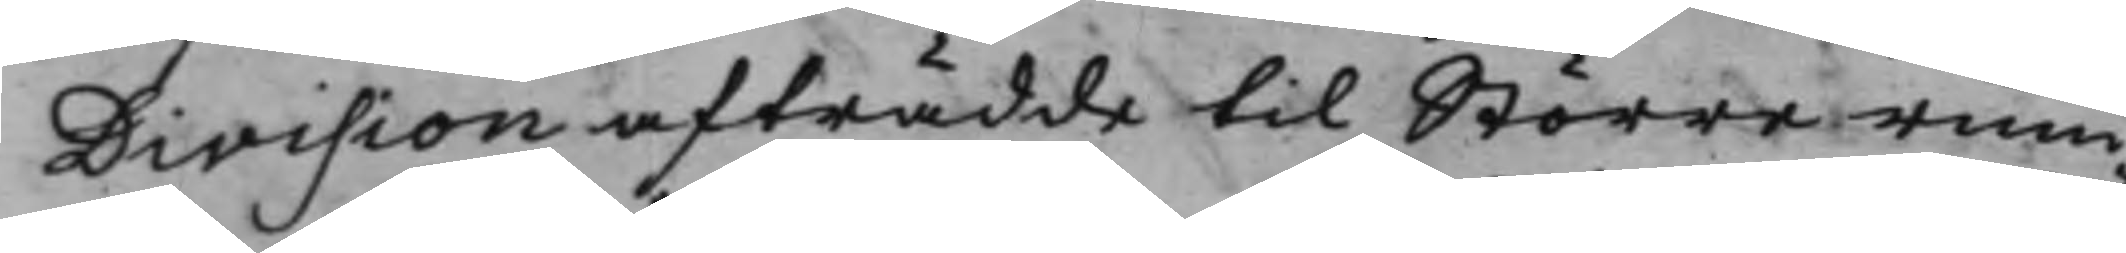Division afträdde till Större rum¬
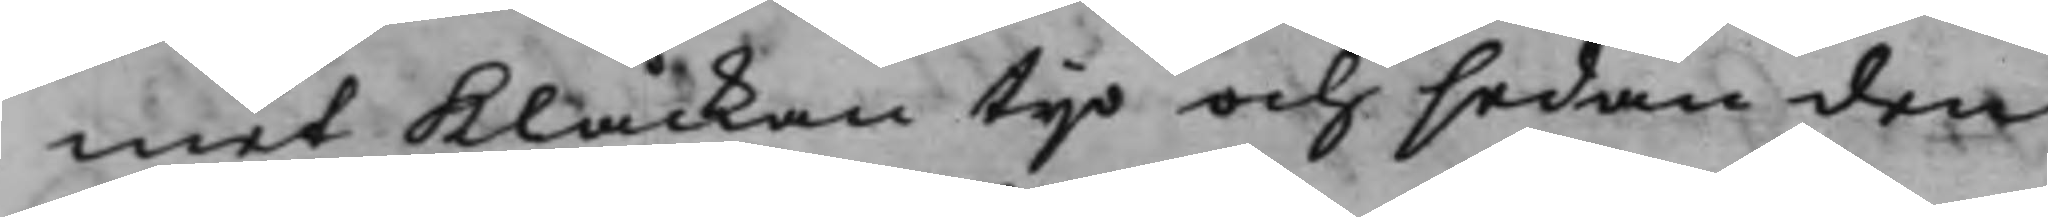met Klåckan tijo och sedan den
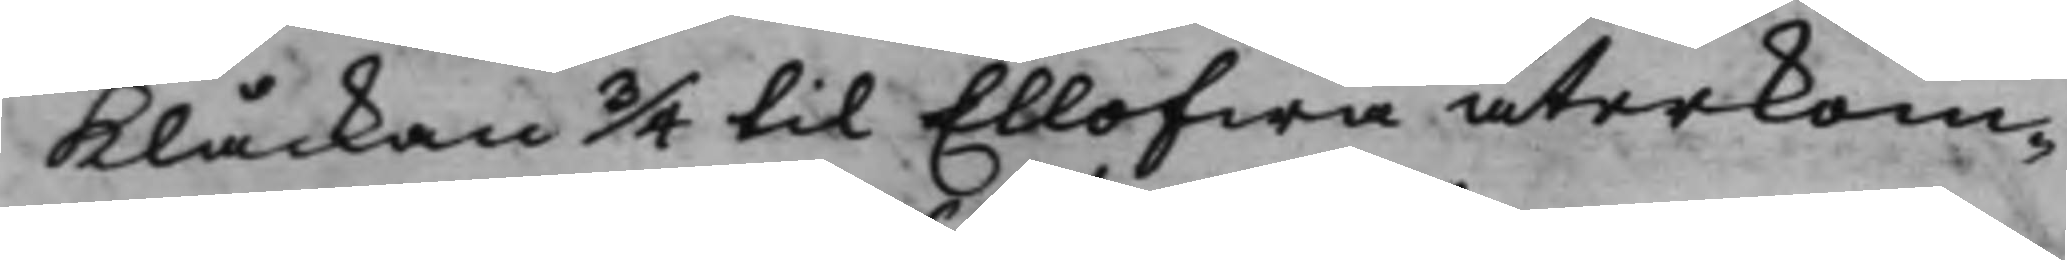Klåckan 3/4 til Ellofwa återkom¬
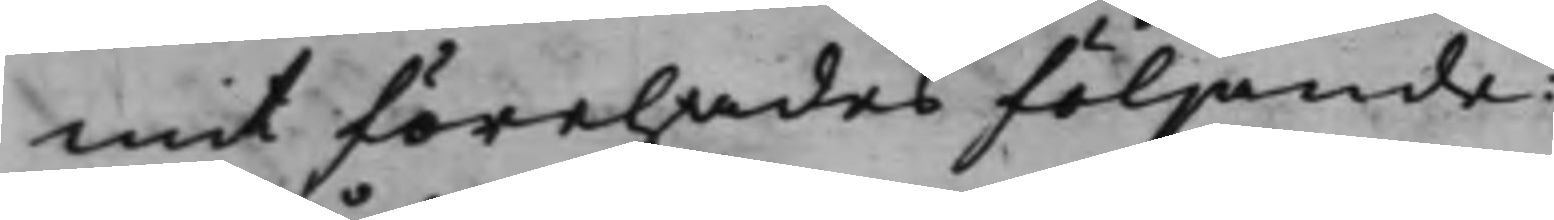mit förehades följande:
